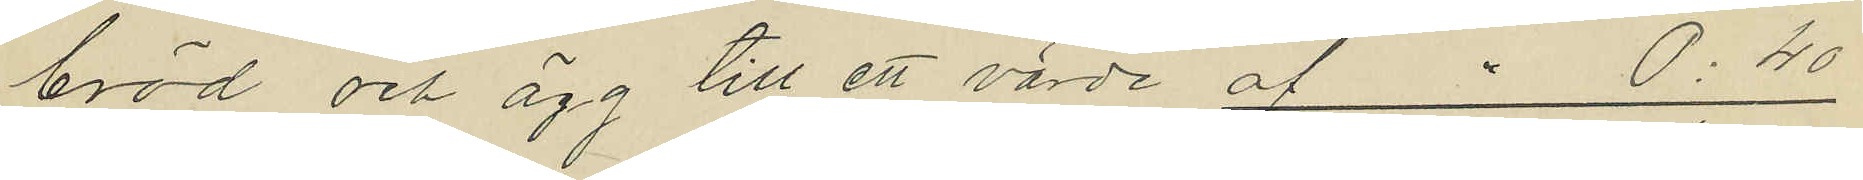bröd och ägg till ett värde af " 0:40
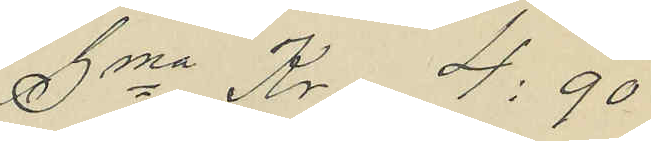Sma Kr 4:90
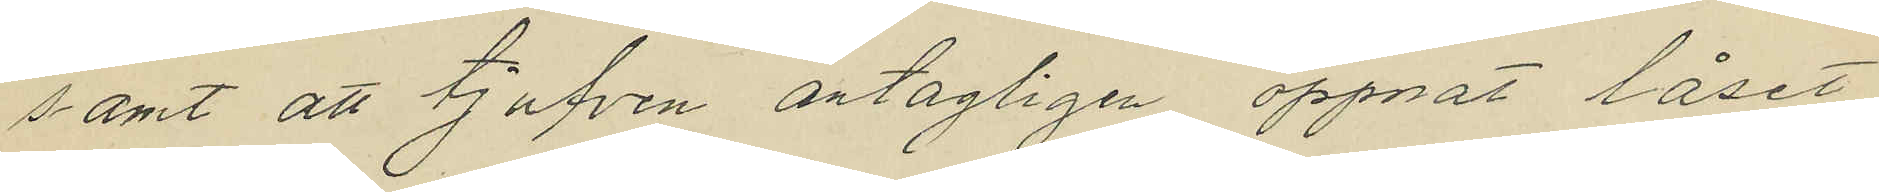samt att tjufven antagligen öppnat låset
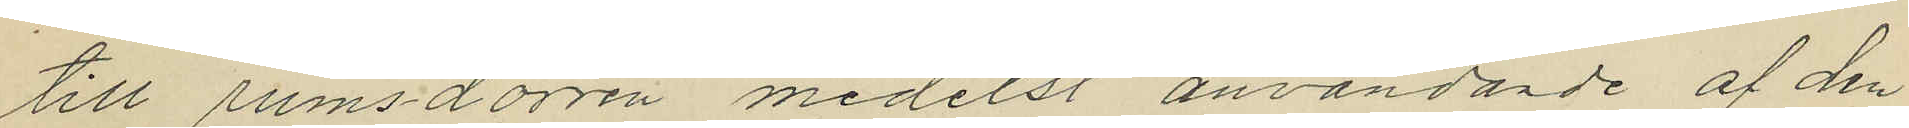till rumsdörren medelst användande af den
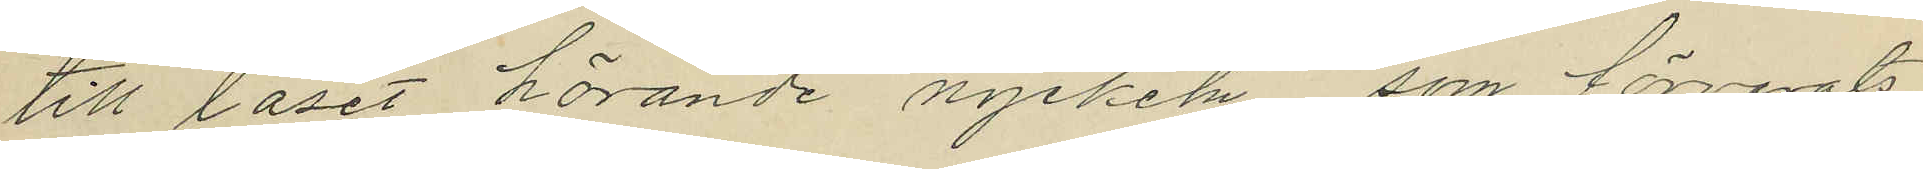till låset hörande nyckeln, som förvarats
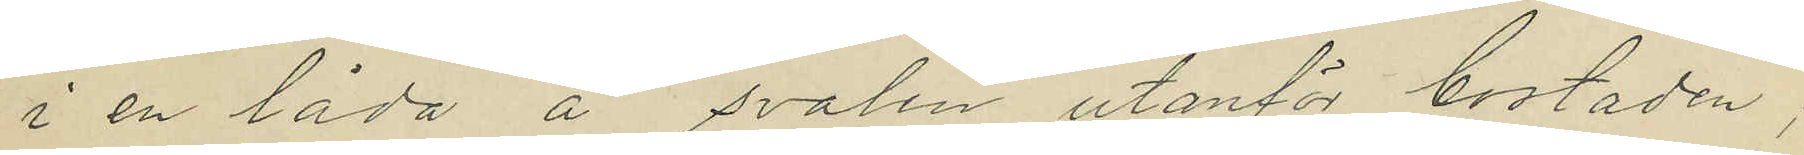i en låda å svalen utanför bostaden;
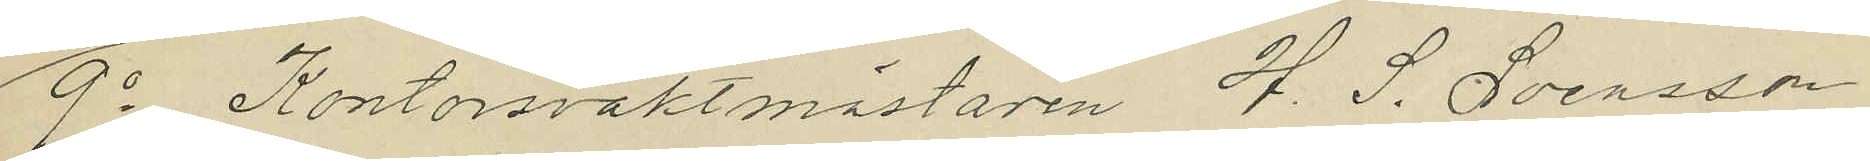9o Kontorsvaktmästaren H. J. Svensson
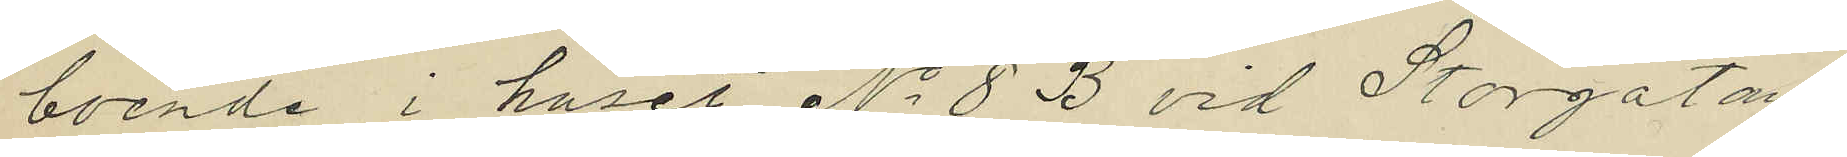boende i huset No 8 B vid Storgatan,
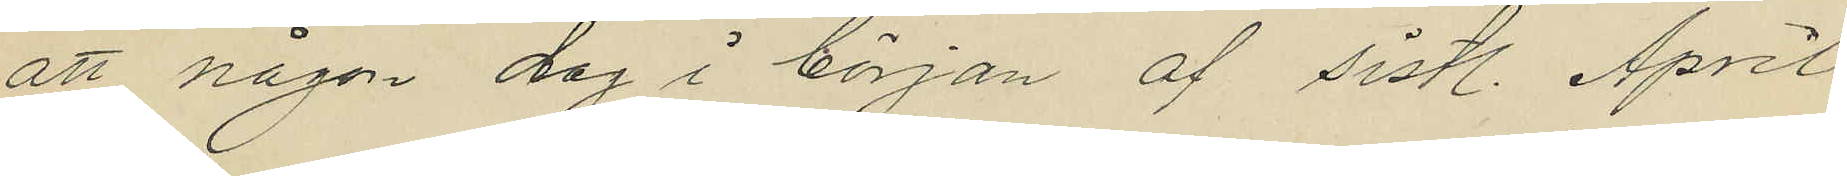att någon dag i början af sistl. April
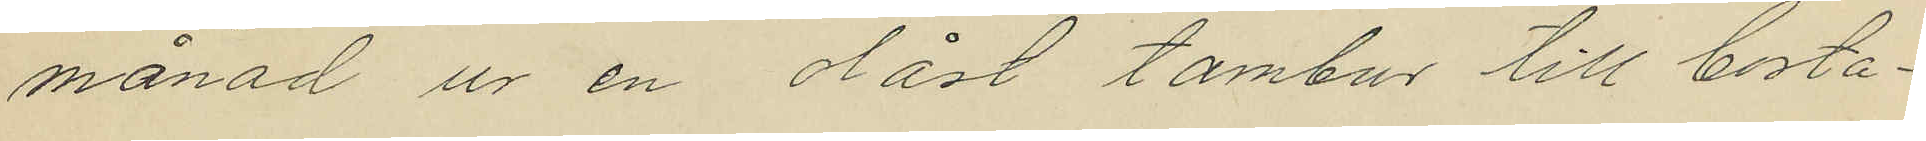månad ur en olåst tambur till bosta¬
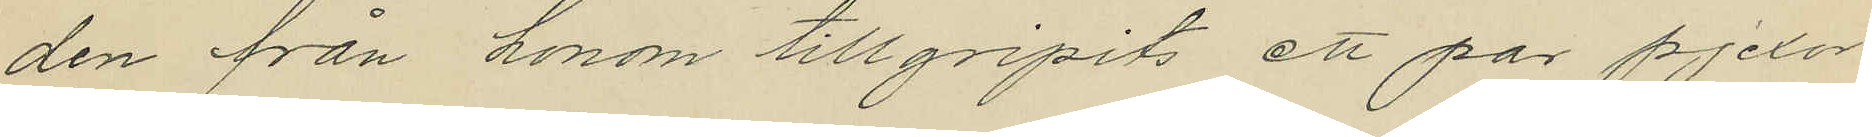den från honom tillgripits ett par pjexor
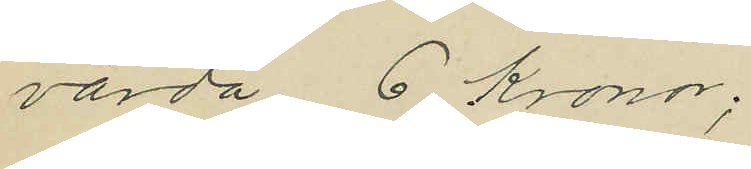värda 6 Kronor;
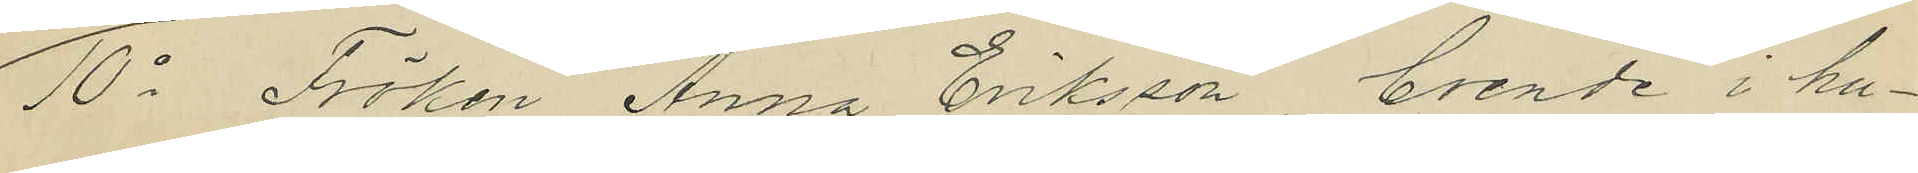10o Fröken Anna Eriksson, boende i hu¬
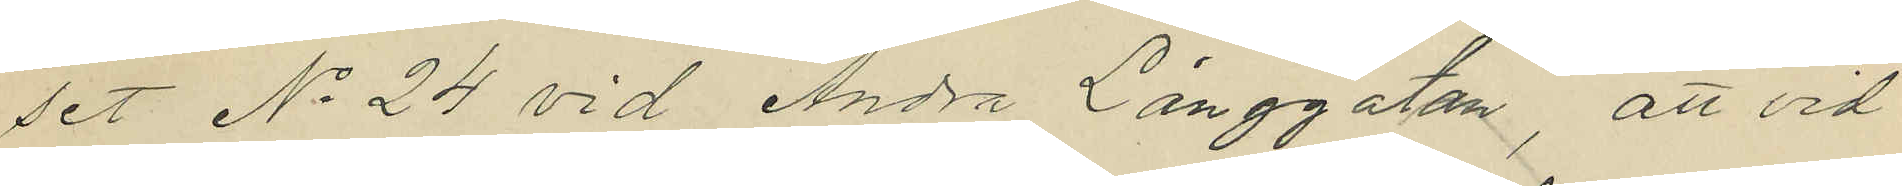set No 24 vid Andra Långgatan, att vid
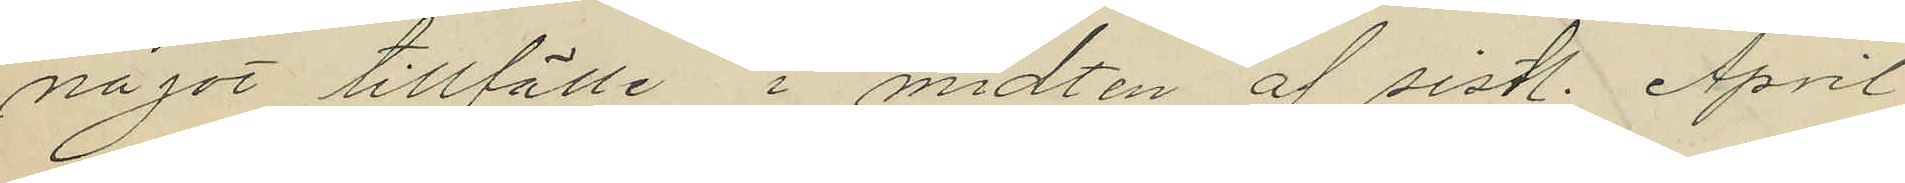något tillfälle i midten af sistl. April
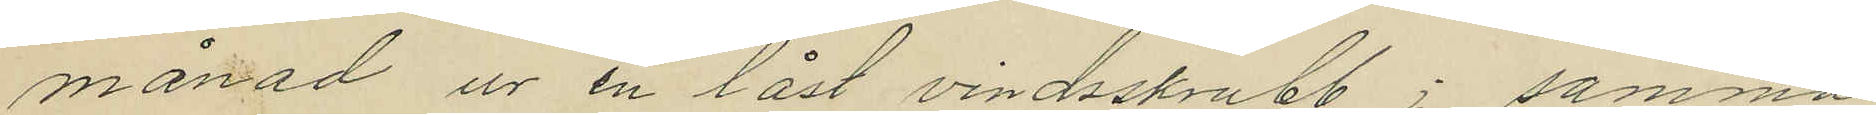månad ur en låst vindsskrubb i samma
